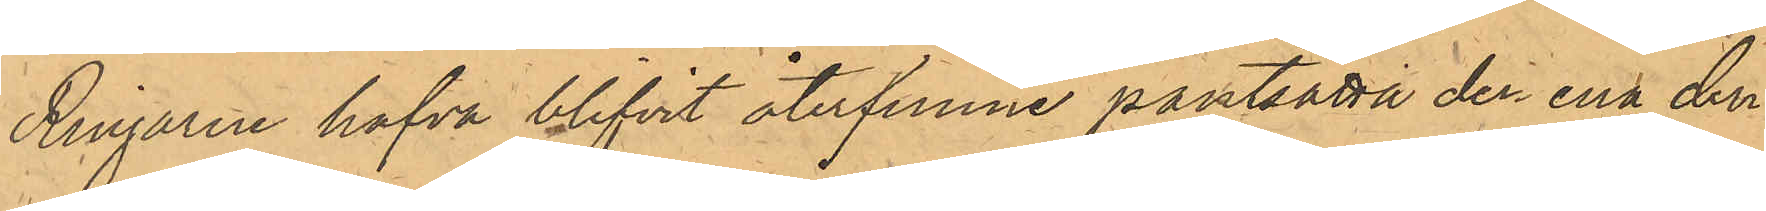Ringarne hafva blifvit återfunne pantsatta den ena den
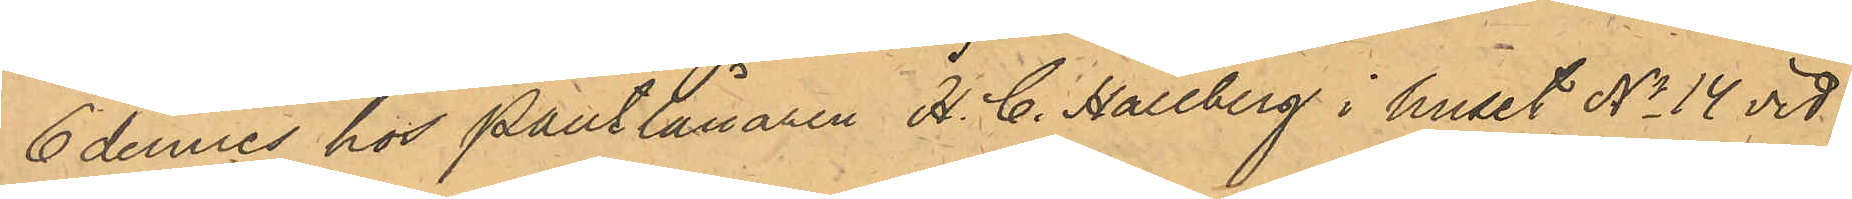6 dennes hos Pantlånaren H. C. Hallberg i huset No 14 vid
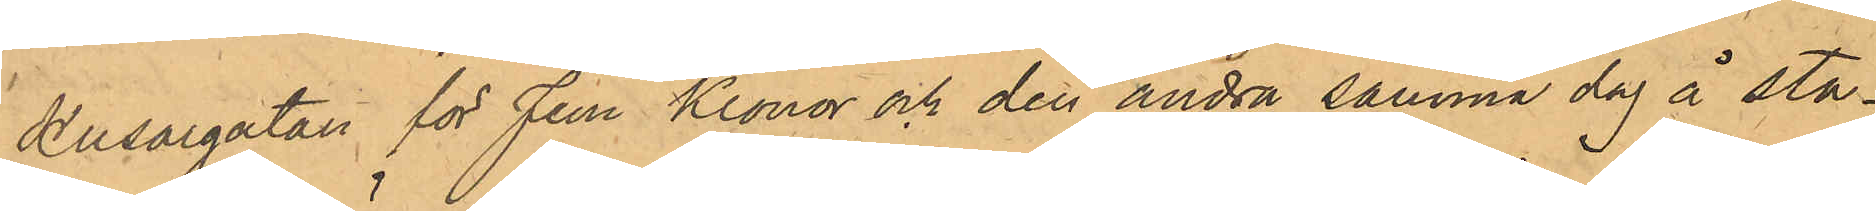Husargatan för Fem Kronor och den andra samma dag å sta¬
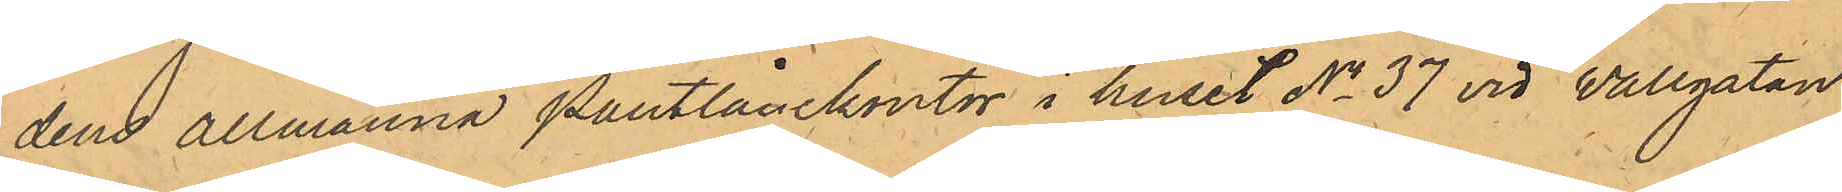dens allmänna Pantlånekontor i huset No 37 vid Wallgatan
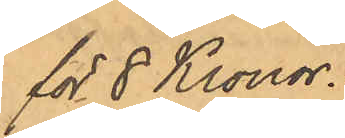för 8 Kronor.
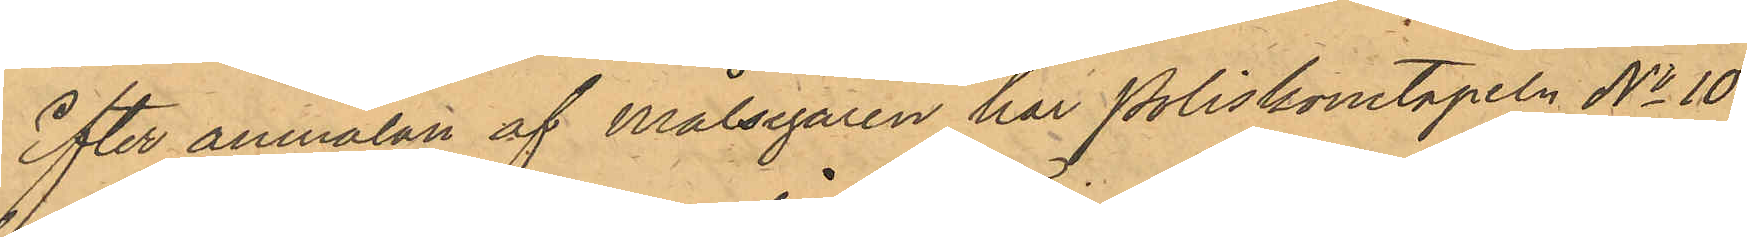Efter anmälan af Målsegaren har Poliskonstapeln No 10
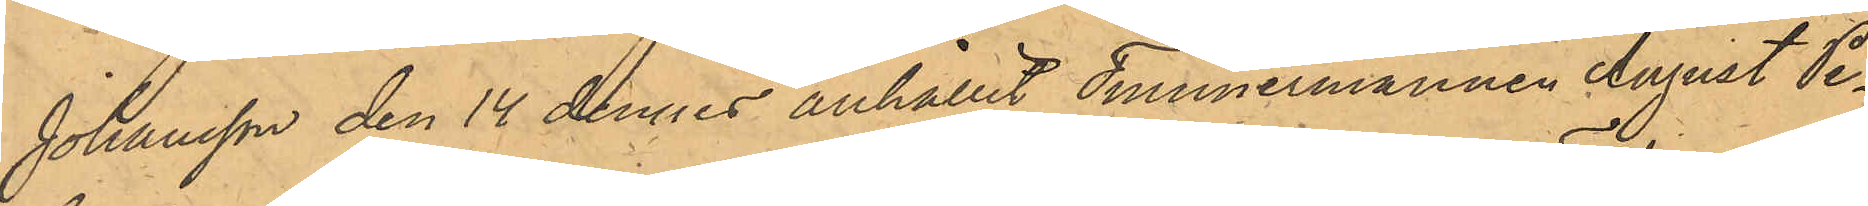Johansson den 14 dennes anhållit Timmermannen August Pe¬
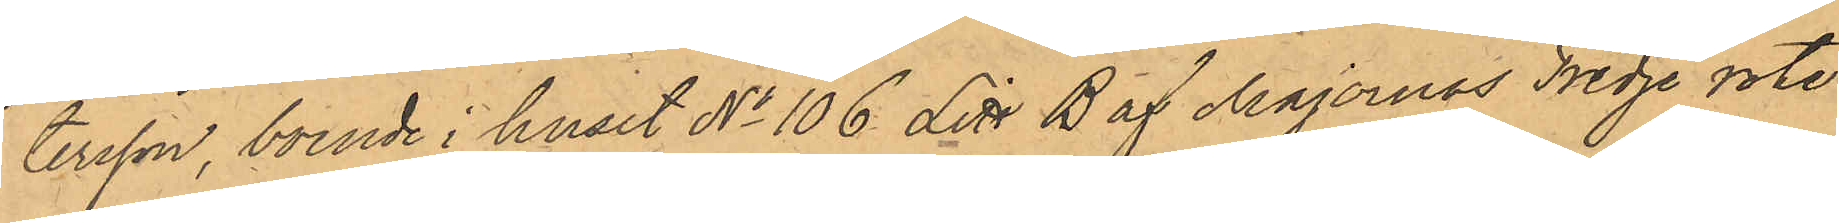tersson, boende i huset No 106 Litt B af Majornas Tredje rote
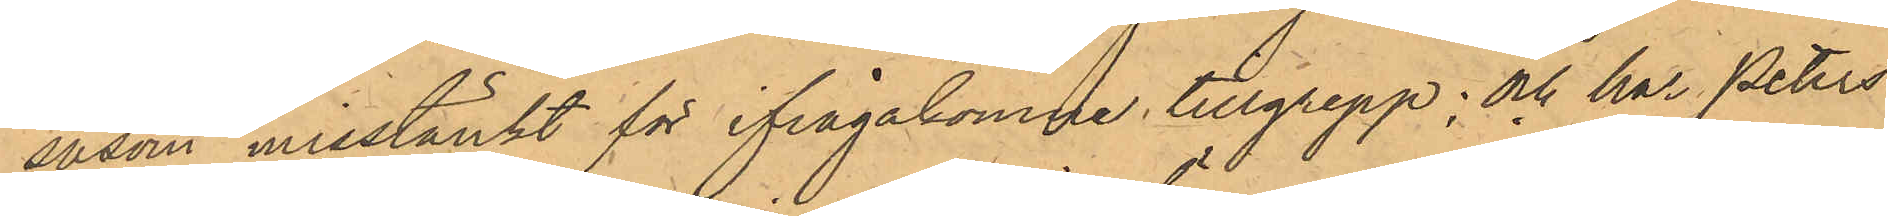såsom misstänkt för ifrågakomne tillgrepp; och har Peters¬
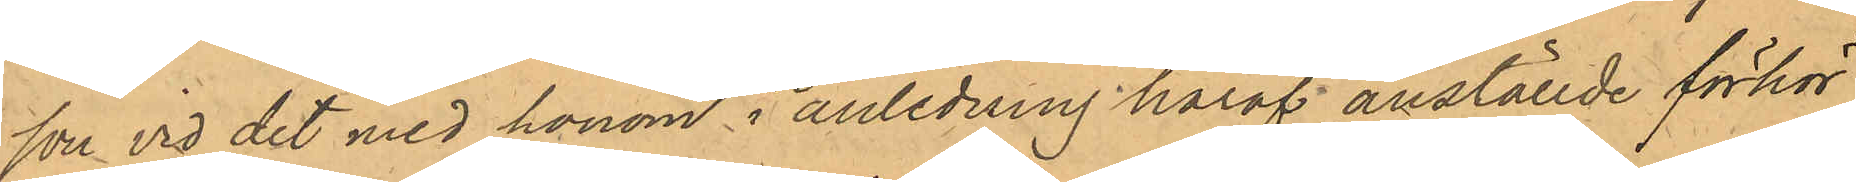son vid det med honom i anledning häraf anställde förhör
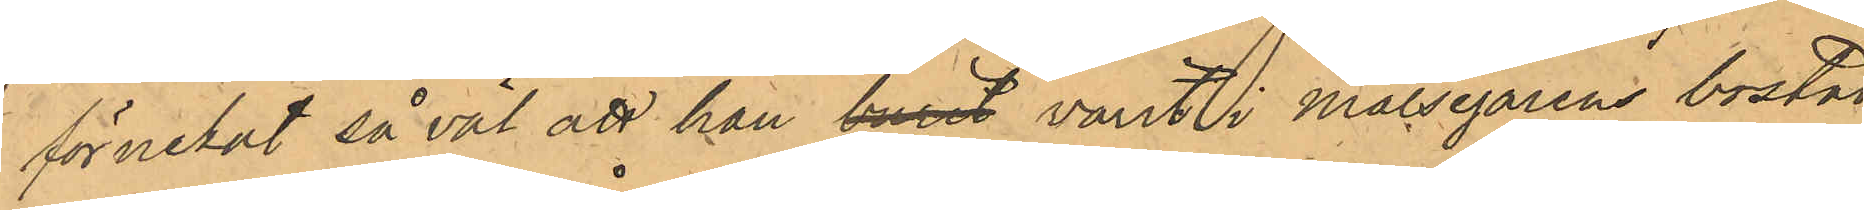förnekat  så väl att han burit varit i Målsegarens bostad
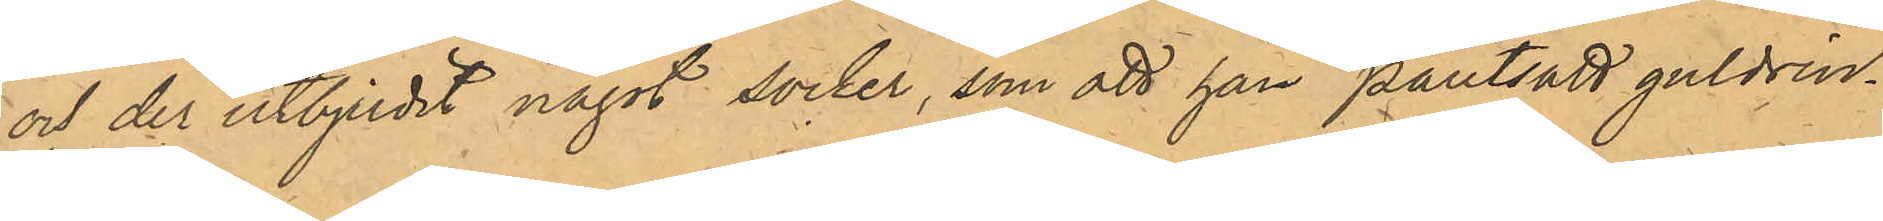och der utbjudit något socker, som att han pantsatt guldrin¬
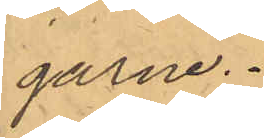garne.
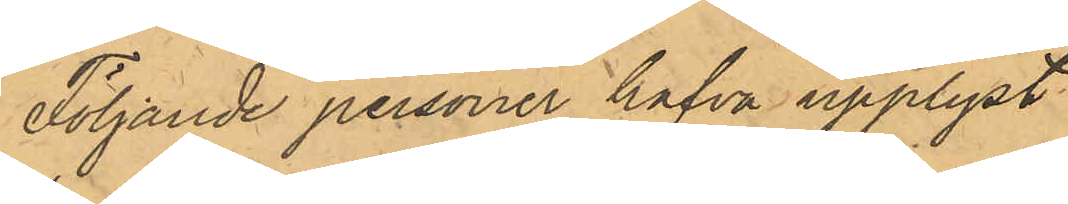Följande personer hafva upplyst
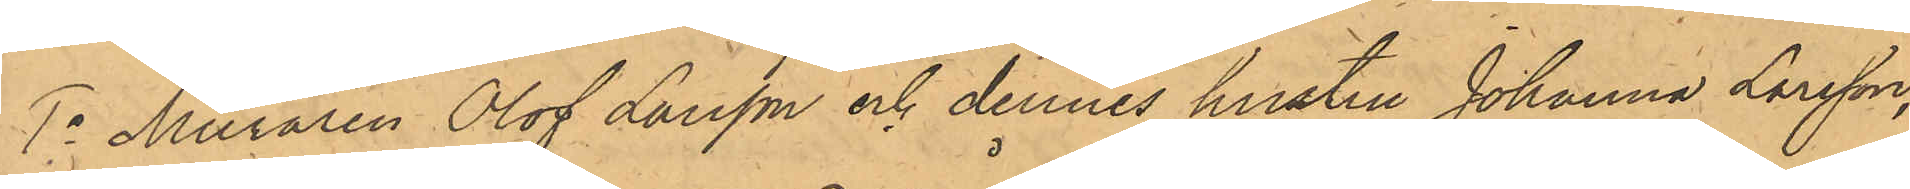1o Muraren Olof Larsson och dennes hustru Johanna Larsson,
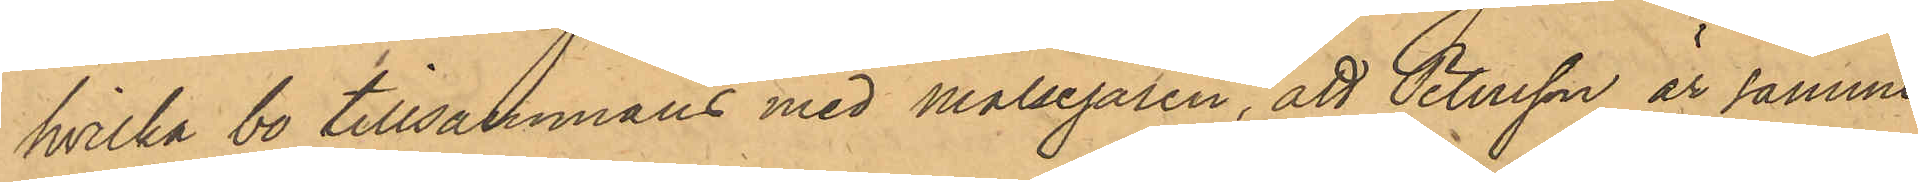hvilka bo tillsammans med Målsegaren, att Petersson är samme
